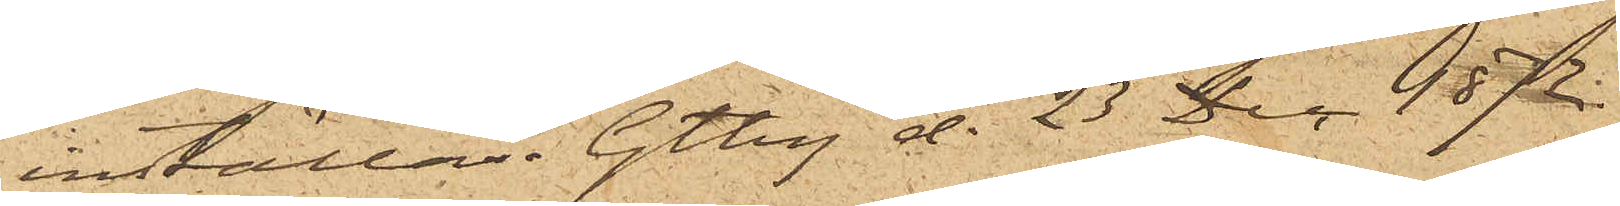inställas. Gtbg d. 23 Dec. 1872.
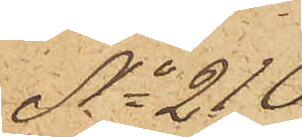No 210
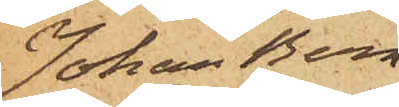Johan Bern¬
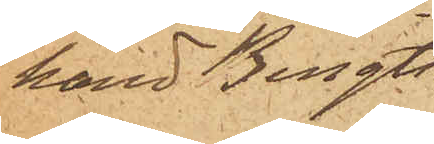hard Bengts¬
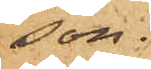son.
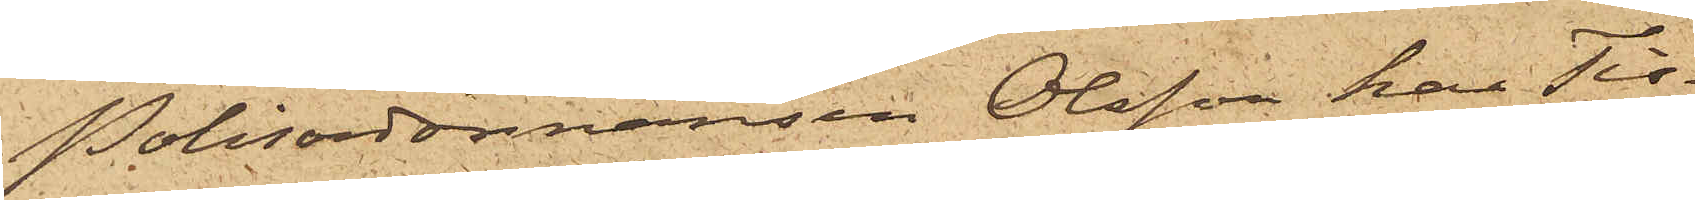Polisordonnansen Olsson har Tis¬
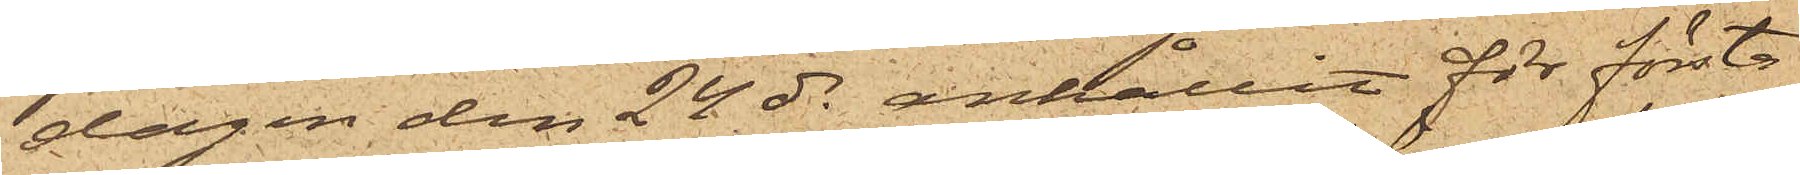dagen den 24 ds anhållit för första
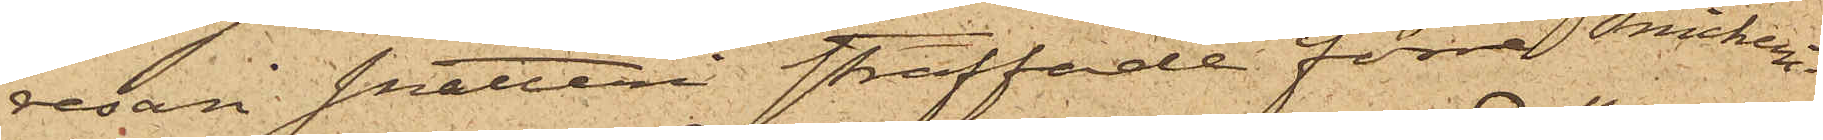resan snatteri straffade förre Snickeri¬
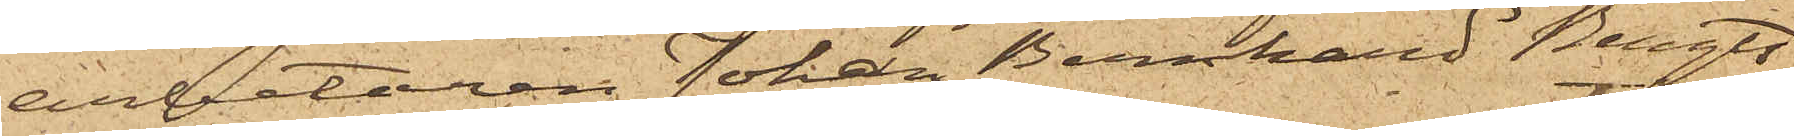arbetaren Johan Bernhard Bengts¬
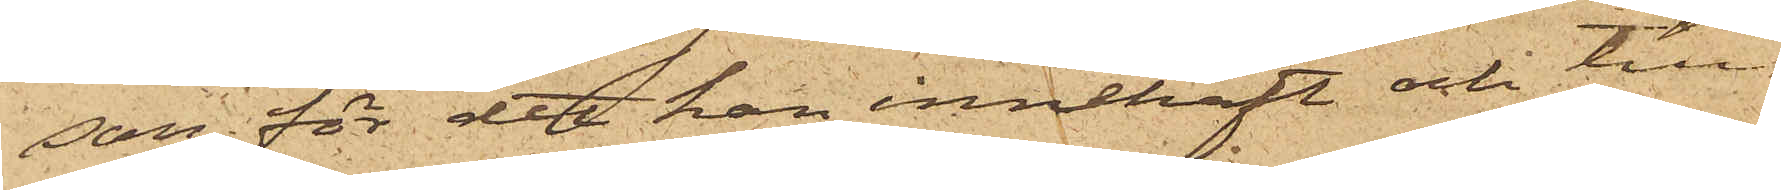son, för det han innehaft och till
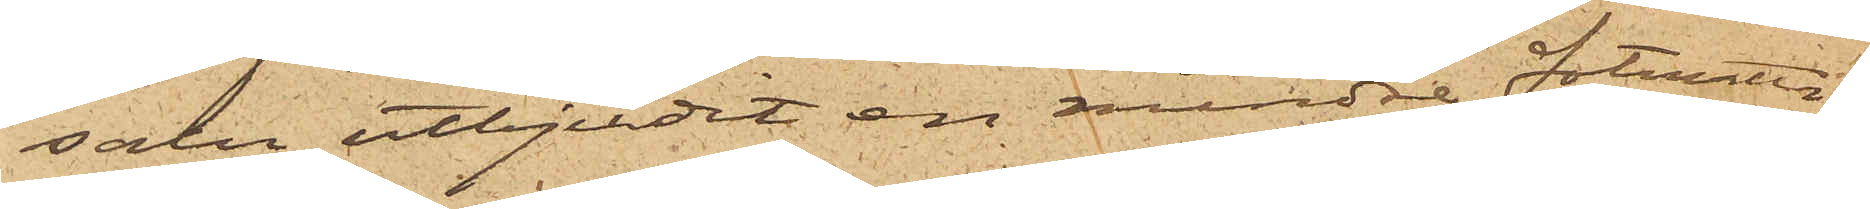salu utbjudit en mindre fotmatta
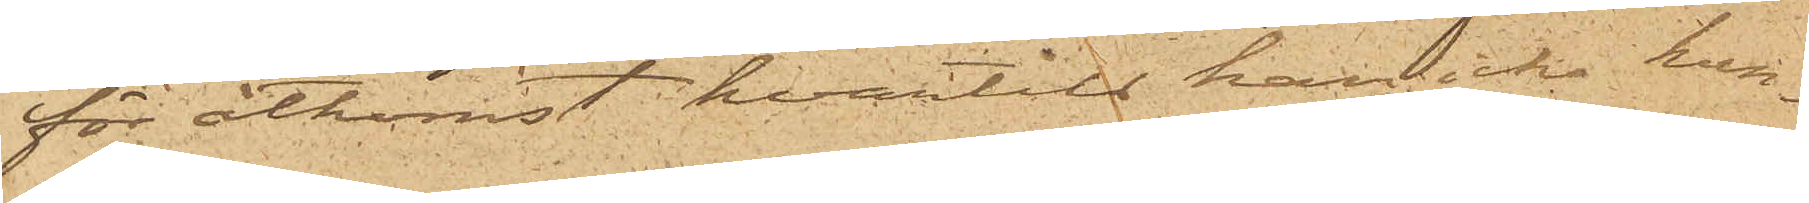för åtkomst hvartill han icke kun¬
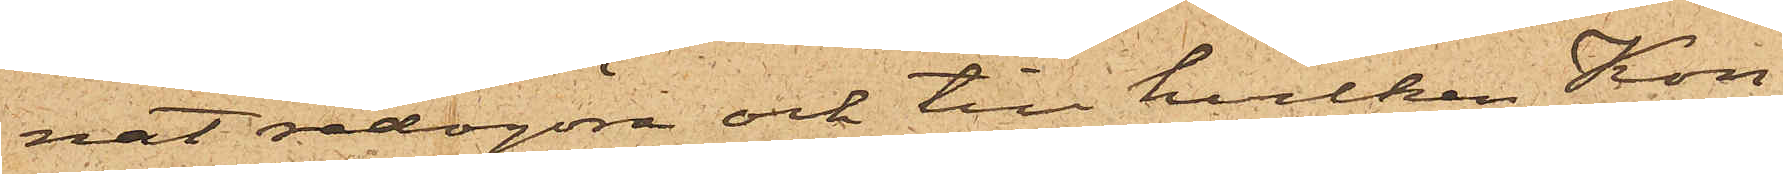nat redogöra och till hvilken Kon¬
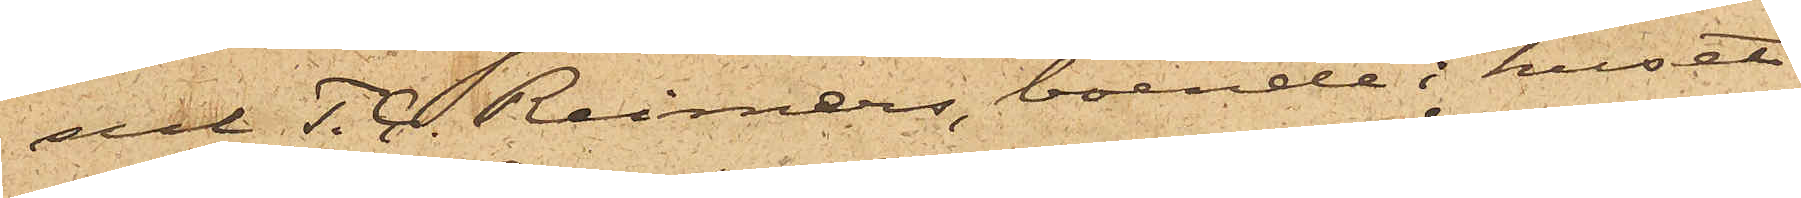sul T. C. Reimers, boende i huset
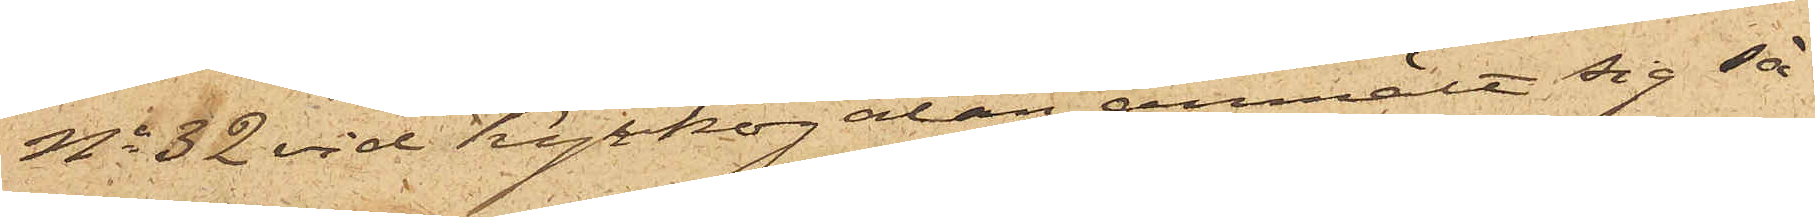No 32 vid Kyrkogatan, anmält sig så¬
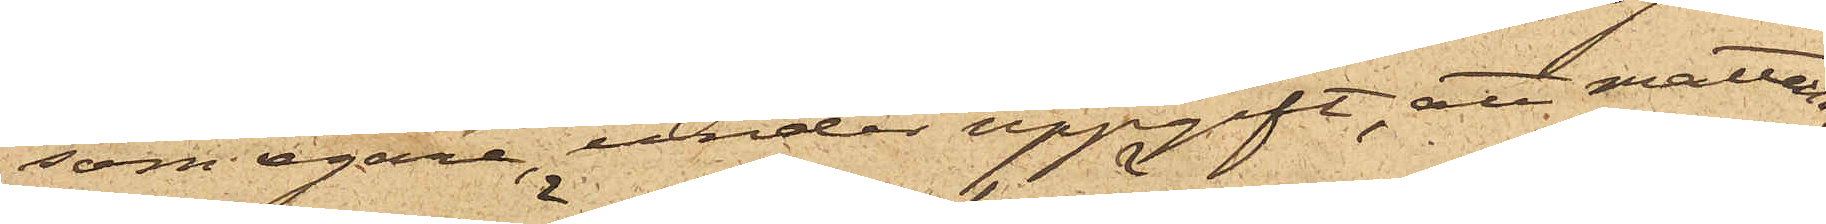som egare, under uppgift, att mattan,
